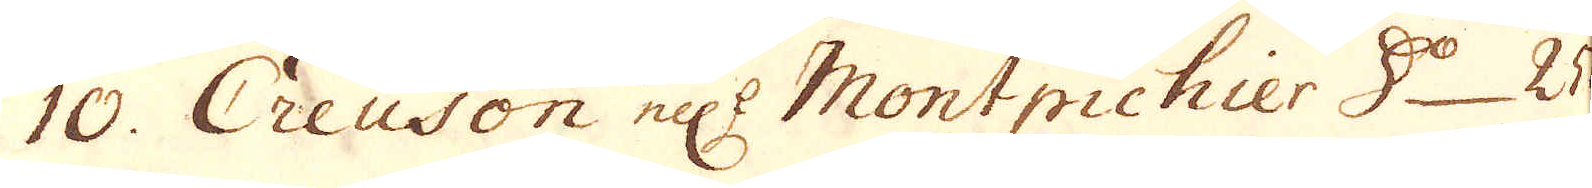10. Creuson el:r Montpichier D:o 25
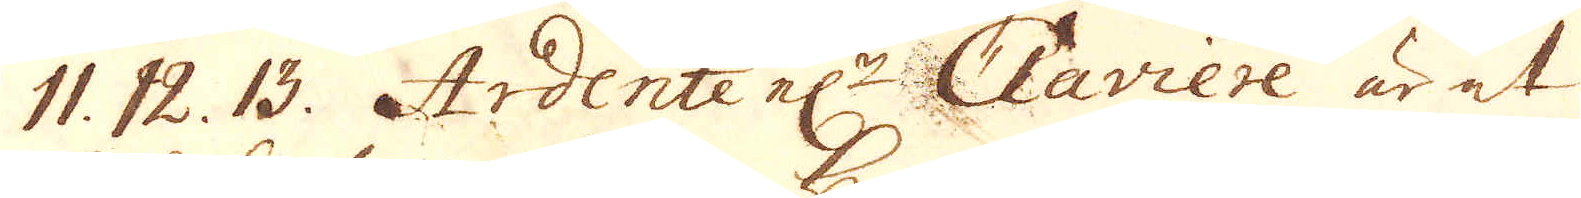11. 12. 13. Ardente el:r Claviere är et
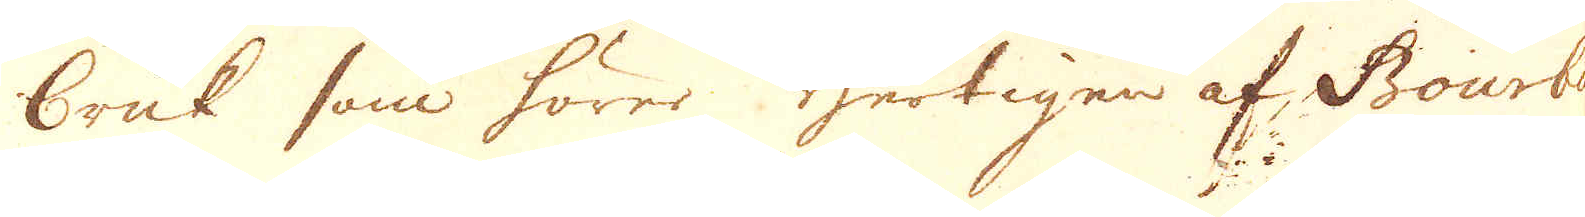bruk som hörer Hertigen af Bourbon
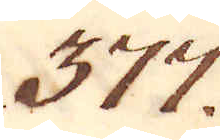377.
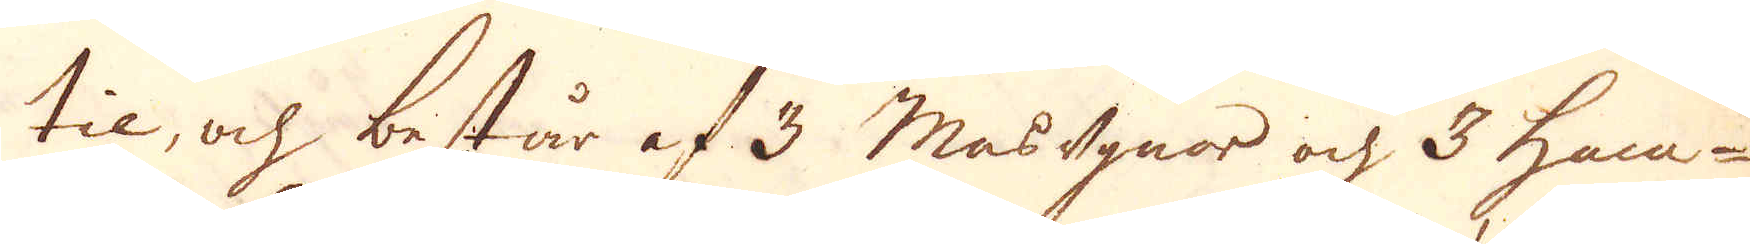til, och består af 3 masugnor och 3 ham-
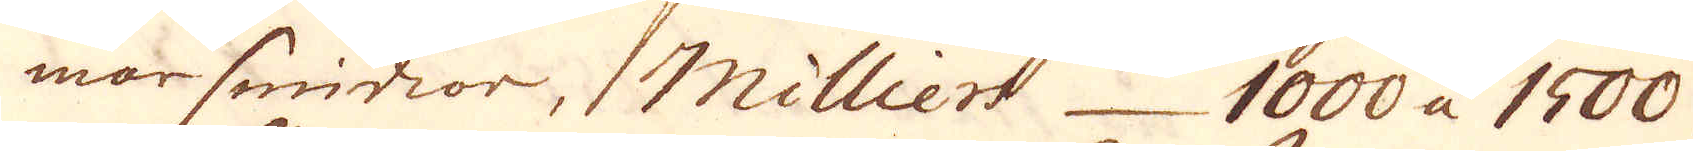marsmidior, Milliers 1000 à 1500
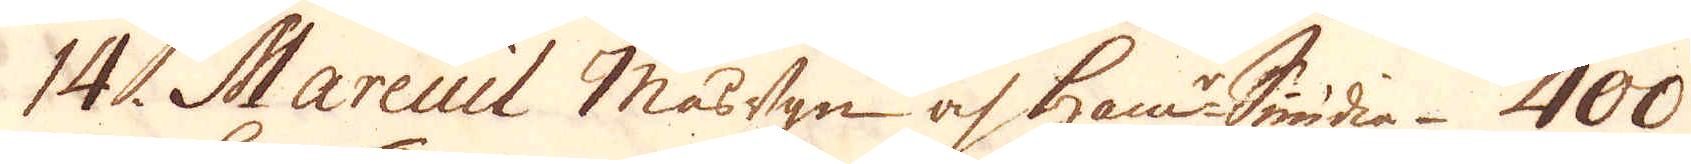14. Mareuil masugn och ham:r Smidia 400
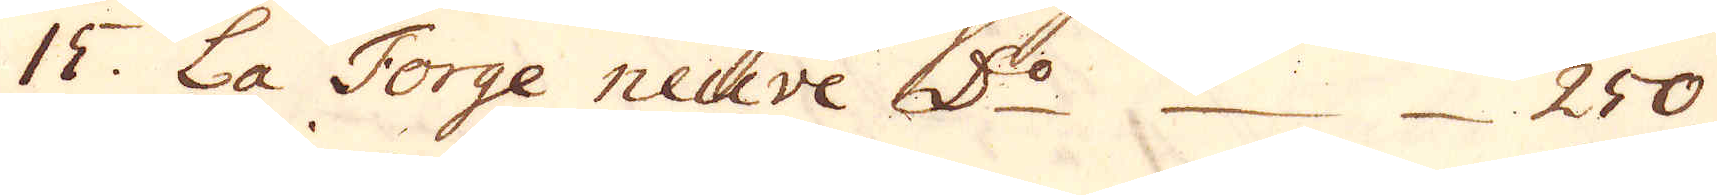15. La Forge neuve D:o 250.
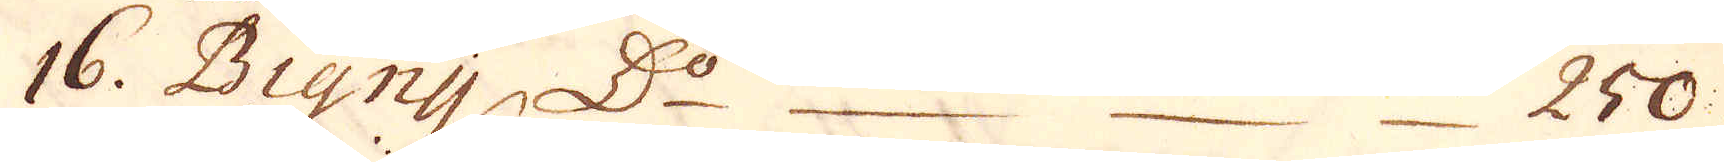16. Bigny D:o 250.
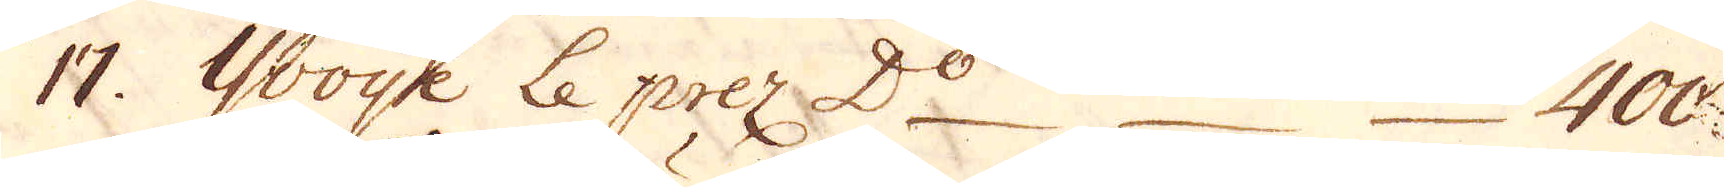17. Yooye Le prez D:o 400.
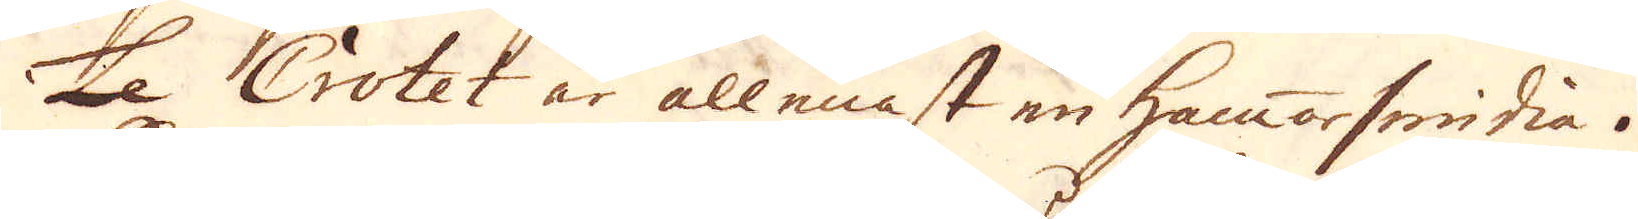Le Crotet är allenast en hammarsmidia.
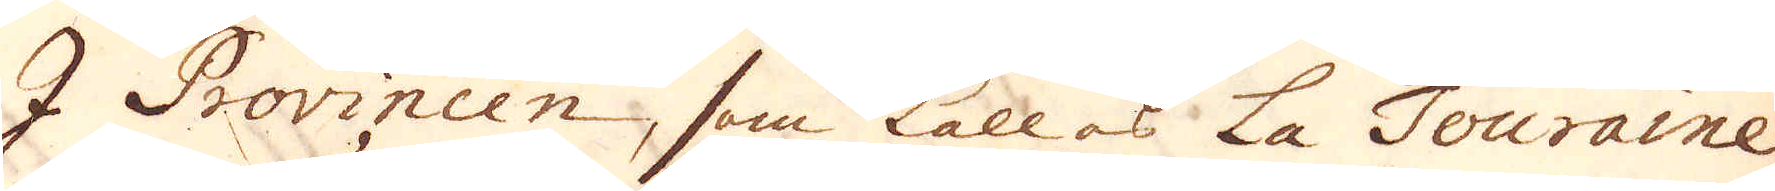I Provincien, som kallas La Touraine
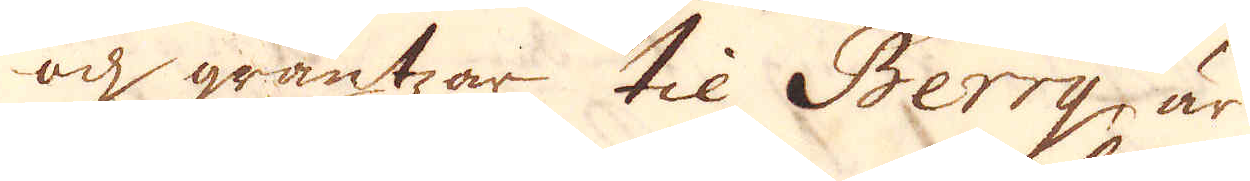och gräntzar til Berry, är
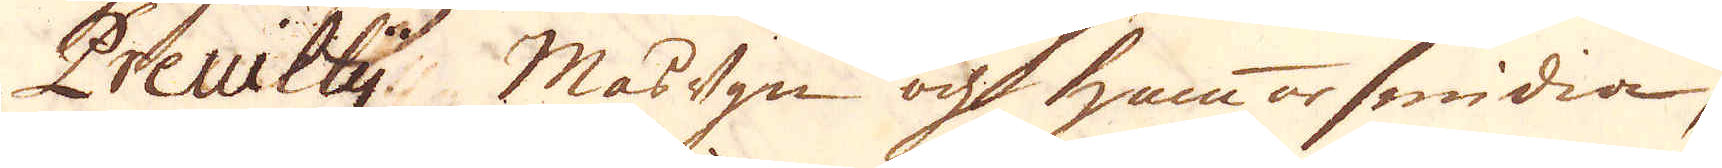Preuilty. Masugn och hammarsmidia,
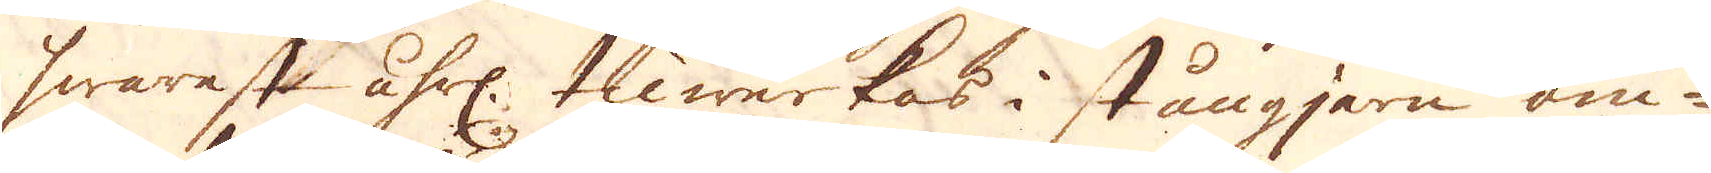hwarest åhrl. tliwerkas i stångjern om-
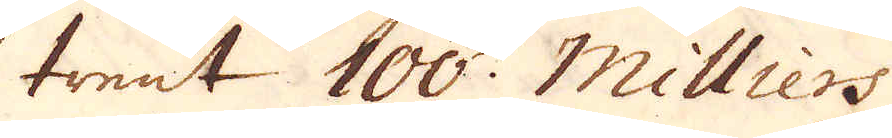trent 100. Milliers
